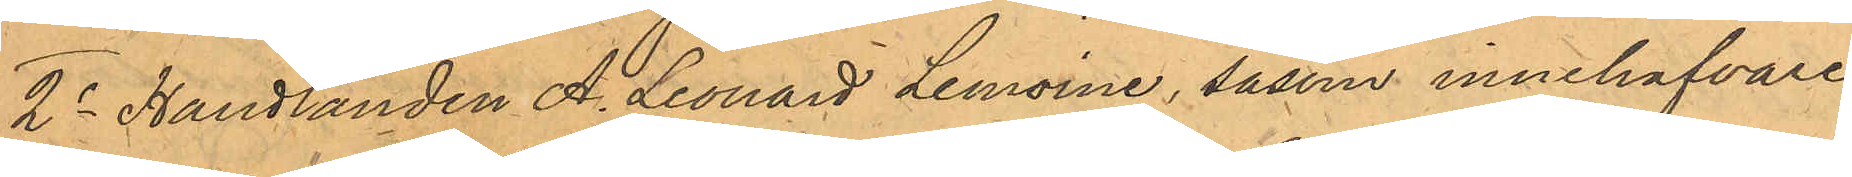2o Handlanden A. Leonard Lemoine, såsom innehafvare
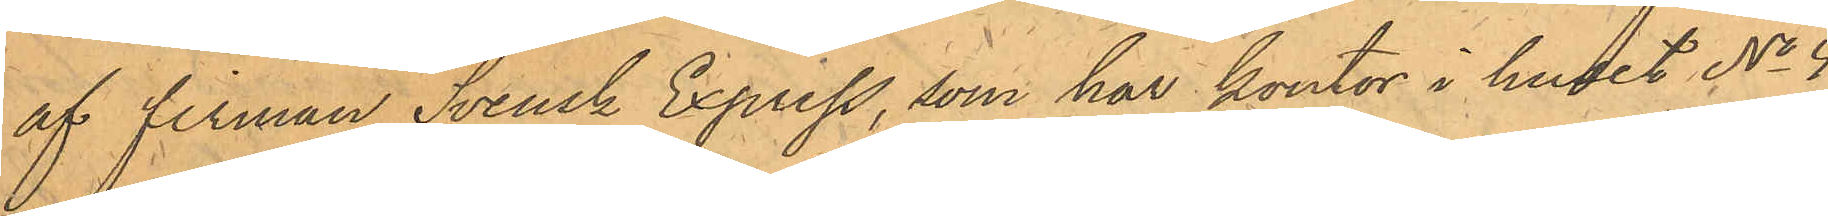af firman Svensk Express, som har kontor i huset No 4
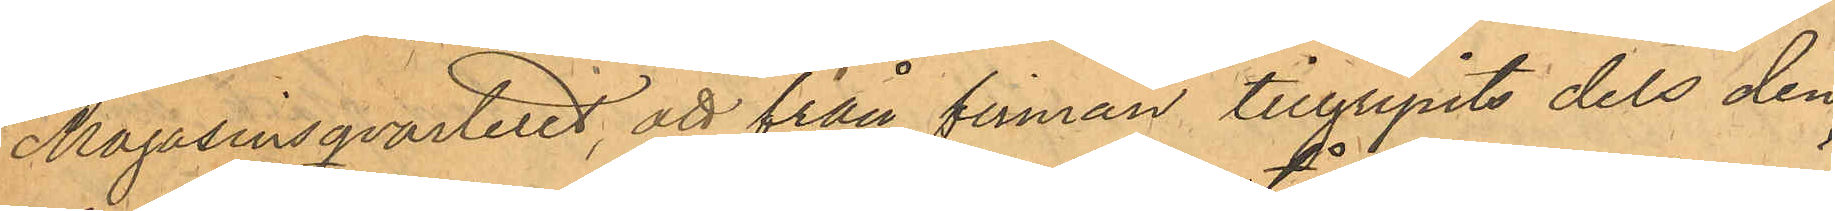Magasinsqvarteret, att från firman tillgripits dels den
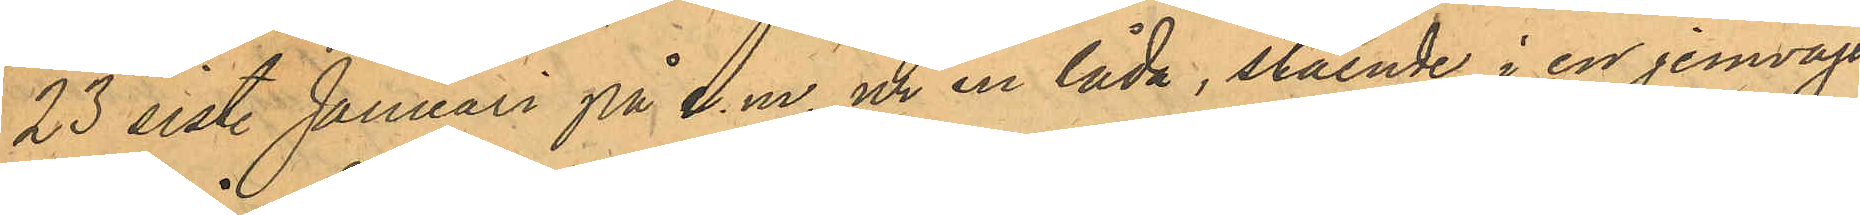23 sist. Januari på e.m. ur en låda, stående i en jernvägs¬
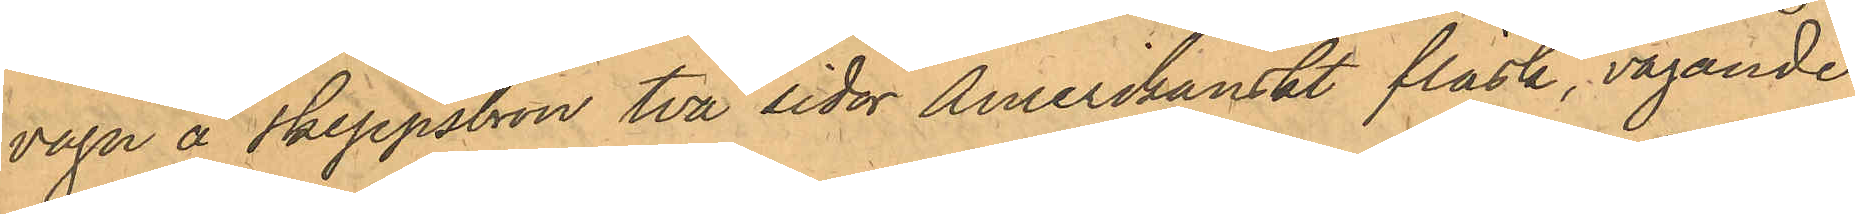vagn å Skeppsbron två sidor Amerikanskt fläsk, vägande
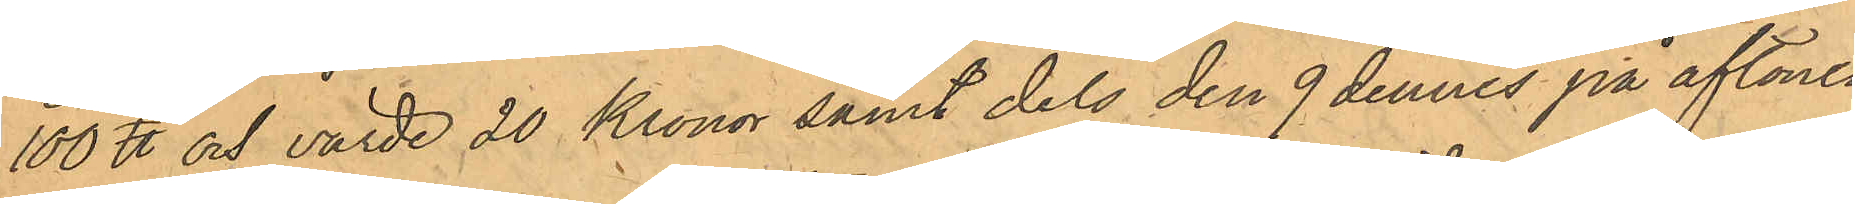100 ℔ och värde 20 Kronor samt dels den 9 dennes på aftonen
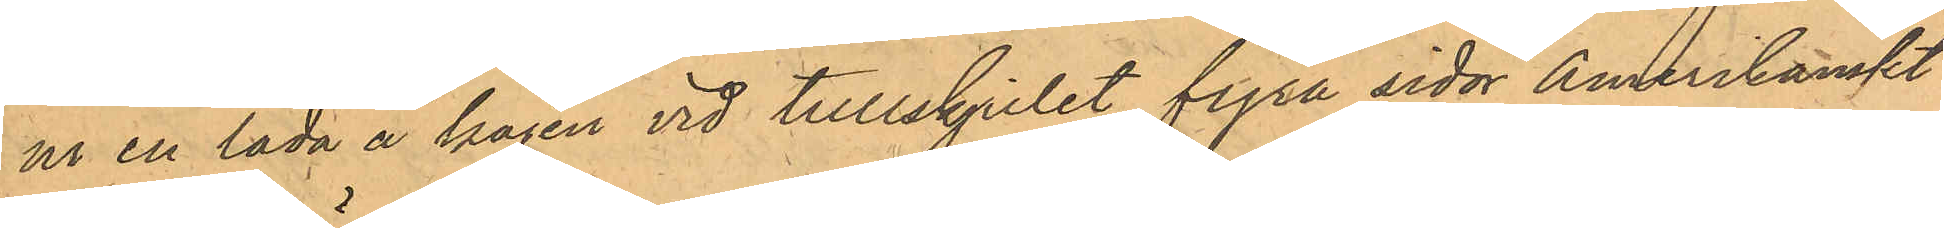ur en låda å kajen vid tullskjulet fyra sidor Amerikanskt
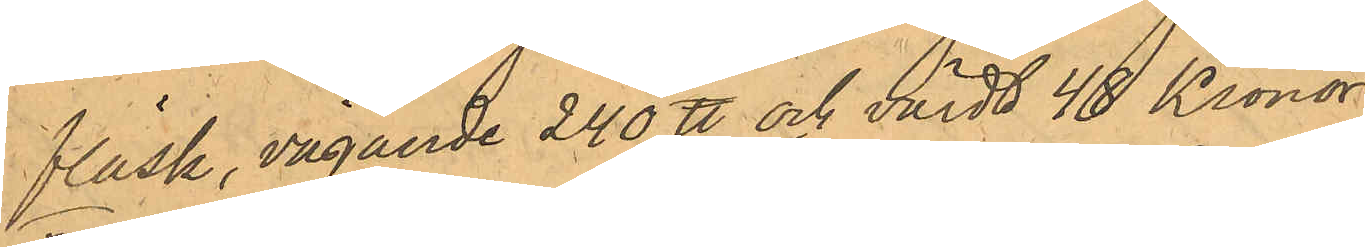fläsk, vägande 240 ℔ och värdt 48 Kronor;
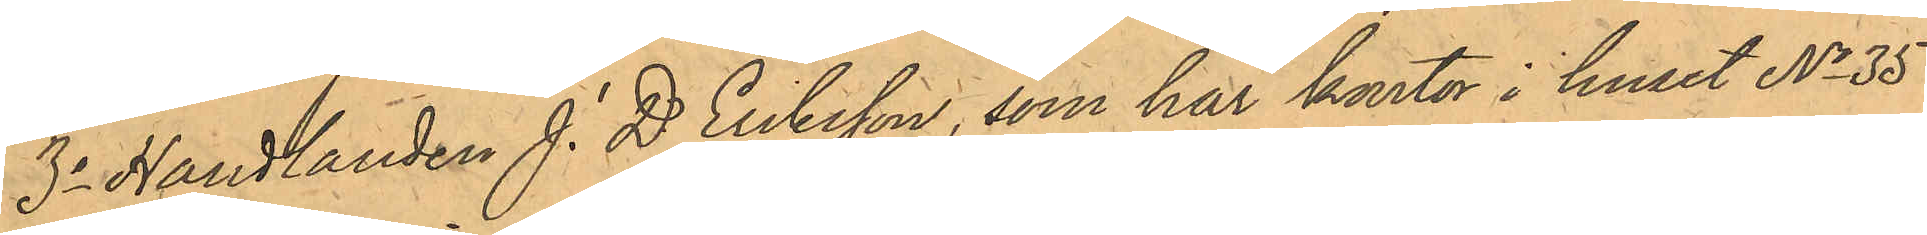3o Handlanden J. D. Eriksson, som har kontor i huset No 35
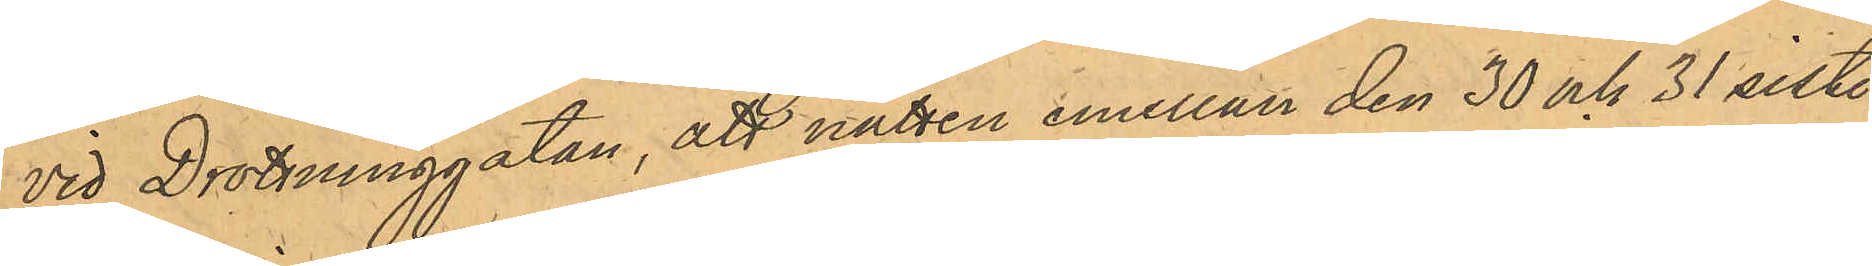vid Drottninggatan, att natten emellan den 30 och 31 sist.
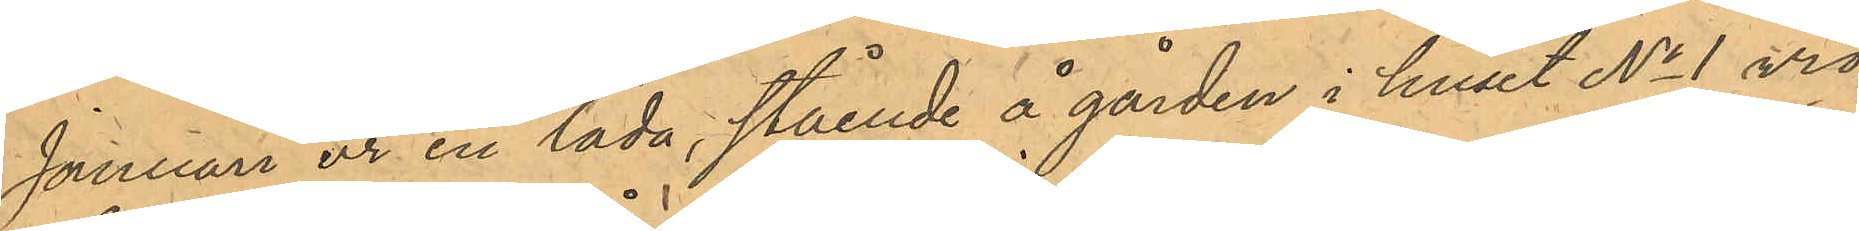Januari ur en låda, stående å gården i huset No 1 vid
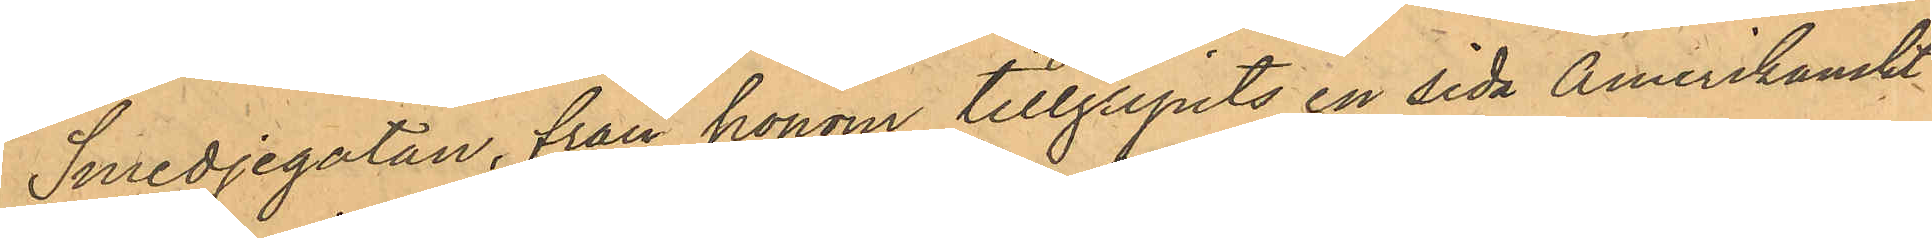Smedjegatan, från honom tillgripits en sida Amerikanskt
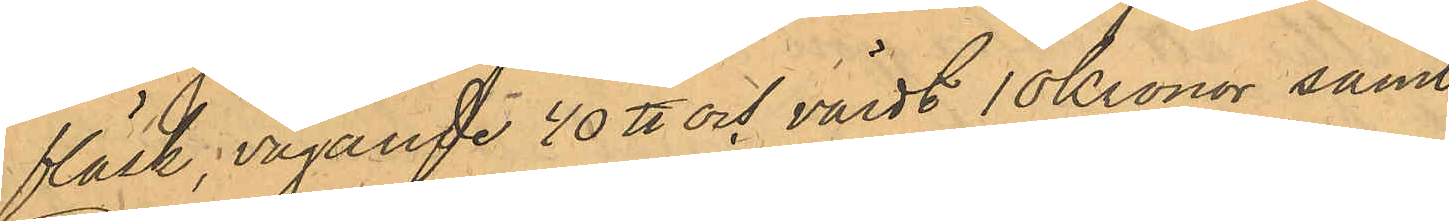fläsk, vägande 40 ℔ och värdt 10 Kronor samt
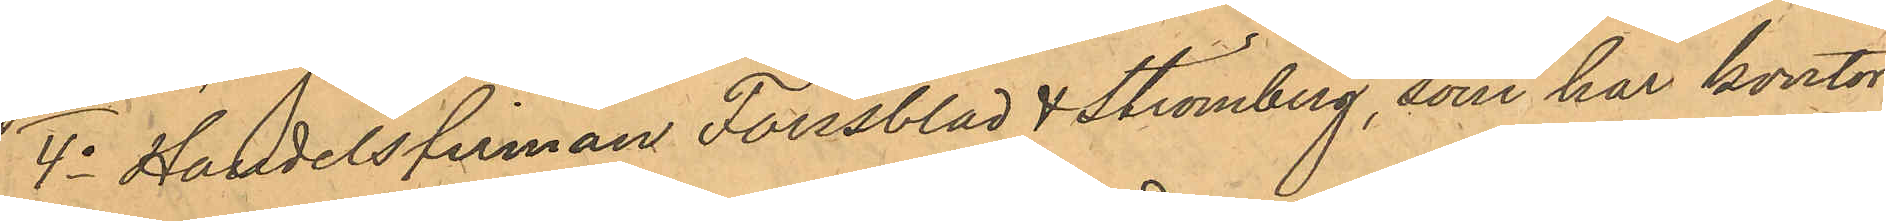4o Handelsfirman Forssblad & Strömberg, som har kontor
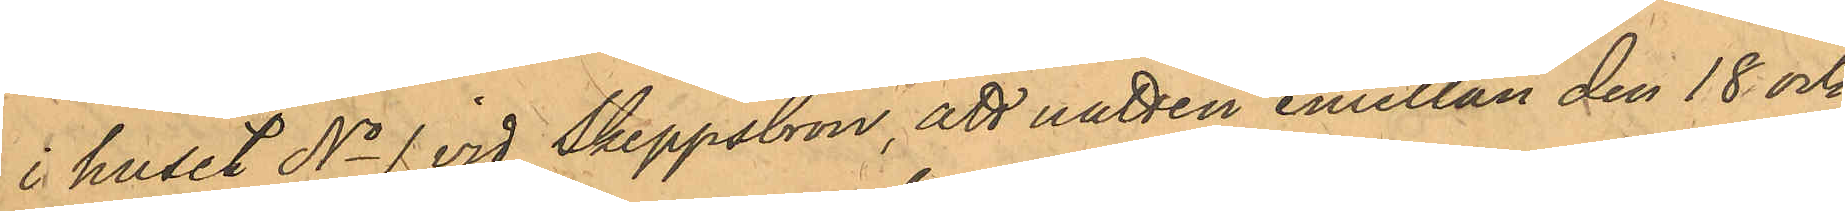i huset No 1 vid Skeppsbron, att natten emellan den 18 och
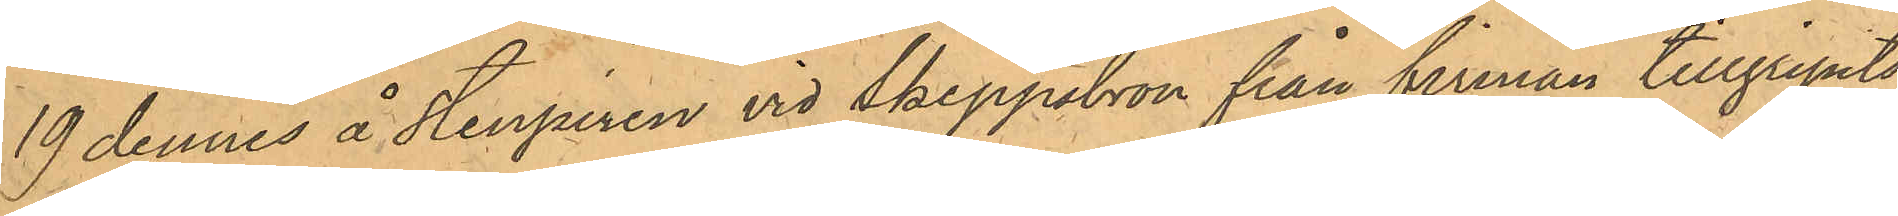19 dennes å Stenpiren vid Skeppsbron från firman tillgripits
